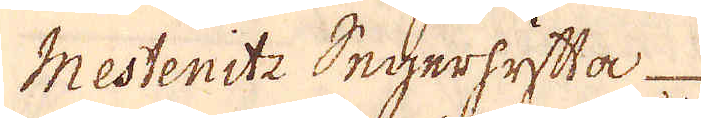Mestenite Seherhyftta
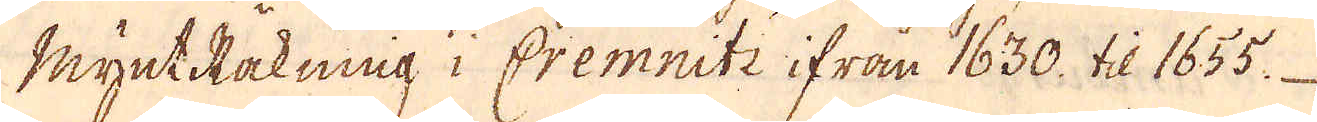myntRakniig i Cremniti ifrån 1630. til 1655
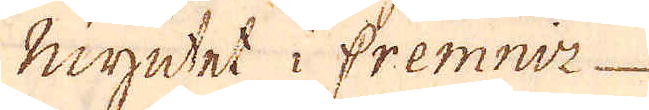Myntet i Fremnir-
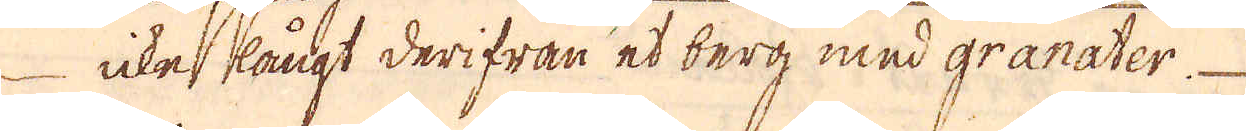ickes kångt derifran et berg med granater
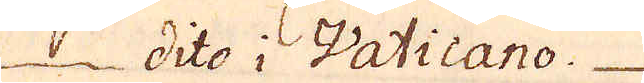1 dito i Vaticano.
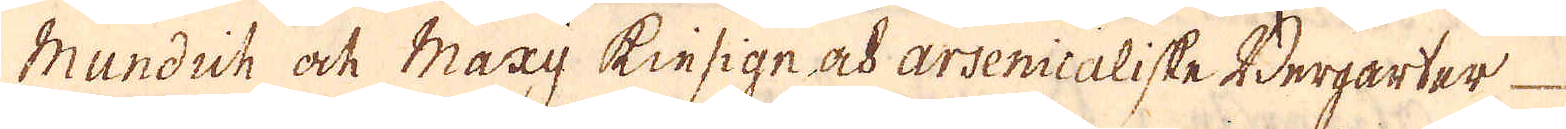Mandiik ock Maay Kiesige och arsenicaliske Berparter
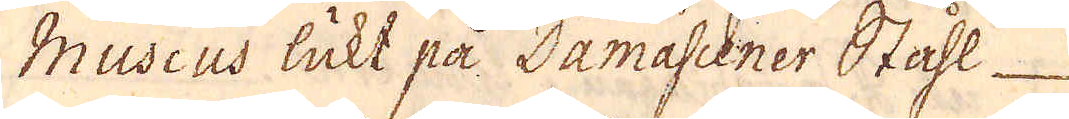Mudeus lukt på Damascener Stahl-
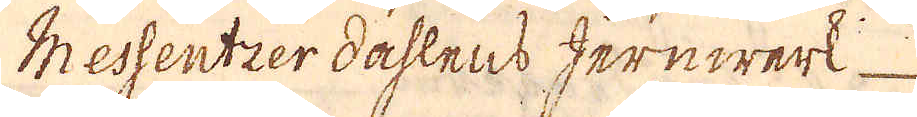Messentier dåhlens Jernwerk
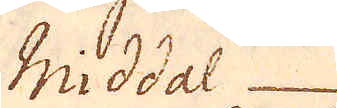Middal
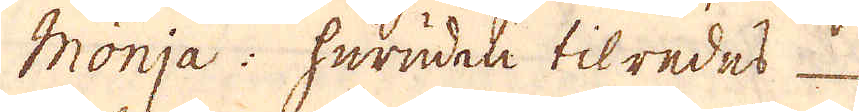Monja: Herudeta tilredes
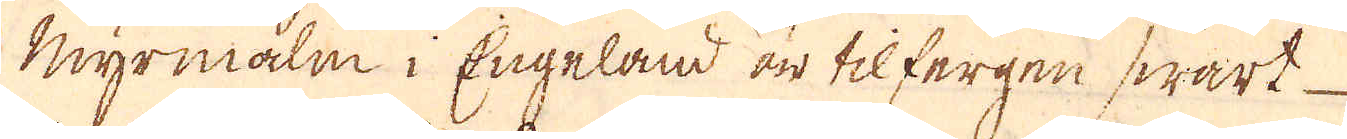Myrmalm i Engeland är tilfergen swart
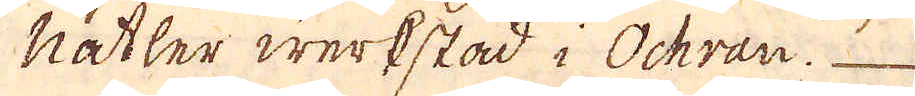nätler werkstad i Ochran.
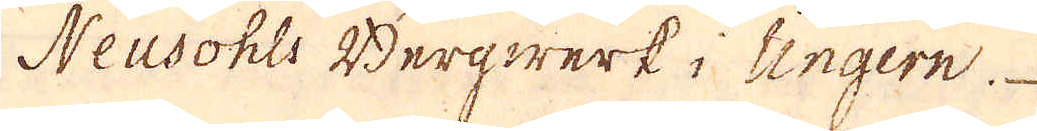Neusohls Bergwerk i Cingern
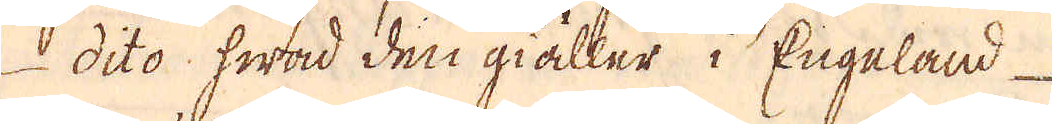5 dito hwad den giäller i Engalad
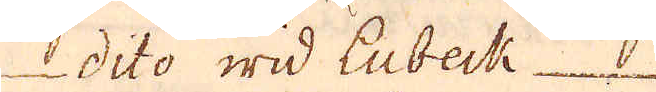dito wid Eubeck
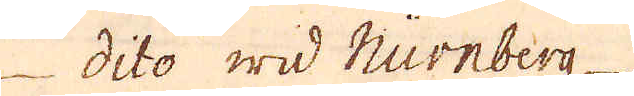dito wid Nurnberg.
